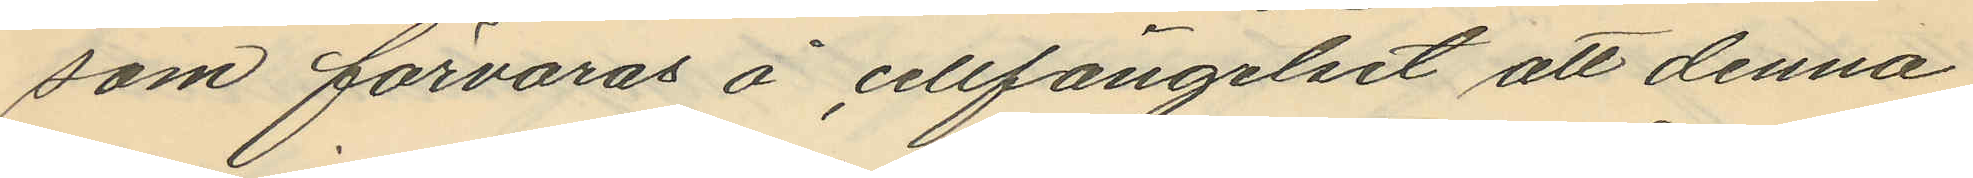som förvaras å cellfängelset att denna
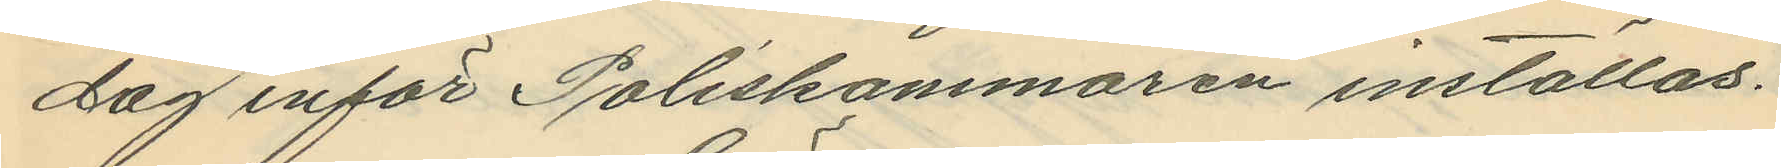dag inför Poliskammaren inställas.
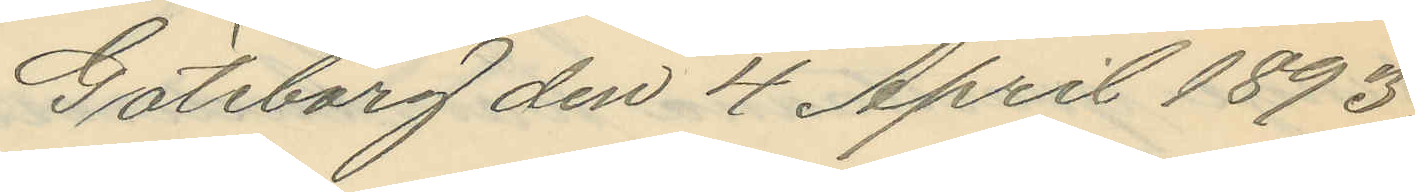Göteborg den 4 April 1893.
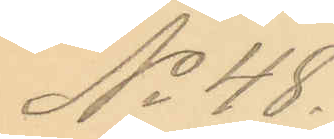No 48.
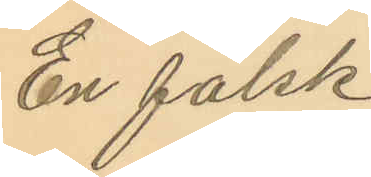En falsk
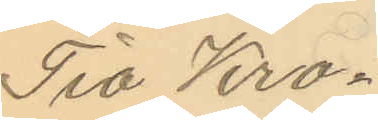Tio Kro¬
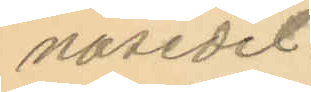nosedel.
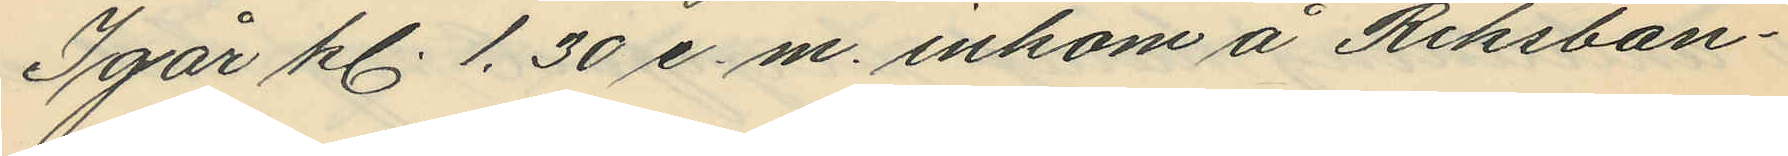Igår kl. 1.30 e.m. inkom å Riksban¬
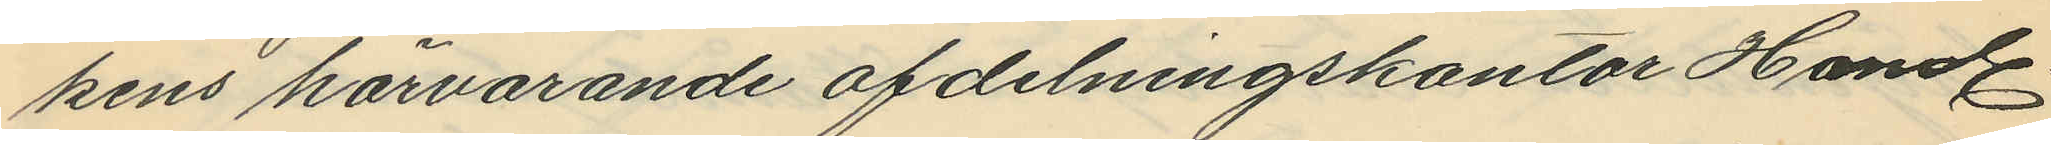kens härvarande afdelningskontor Handl.
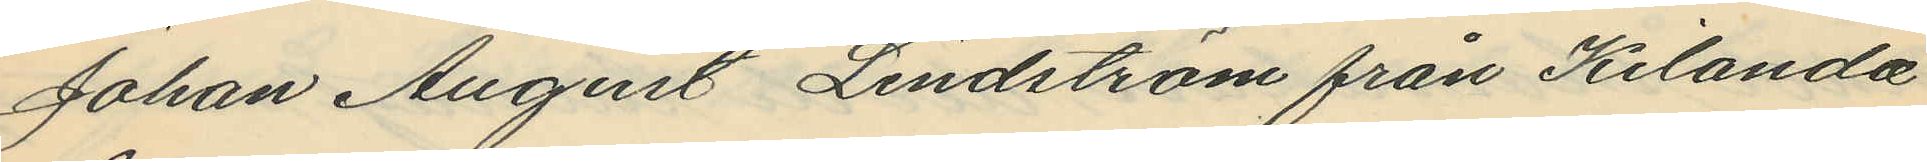Johan August Lindström från Kilanda
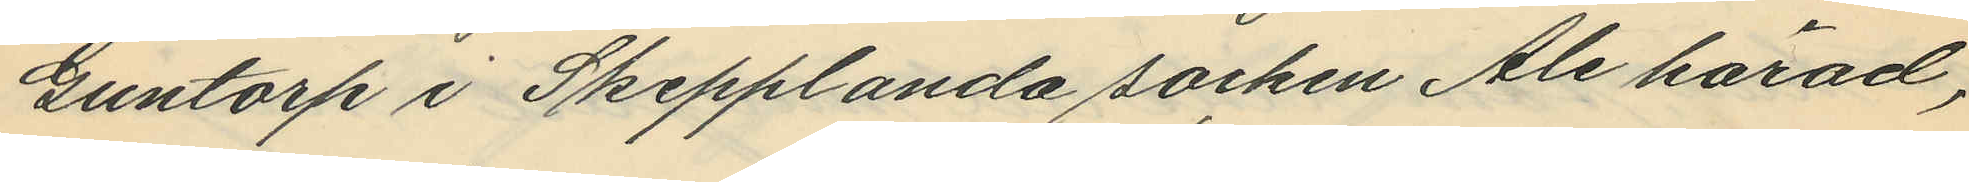Guntorp i Skepplanda socken Ale härad,
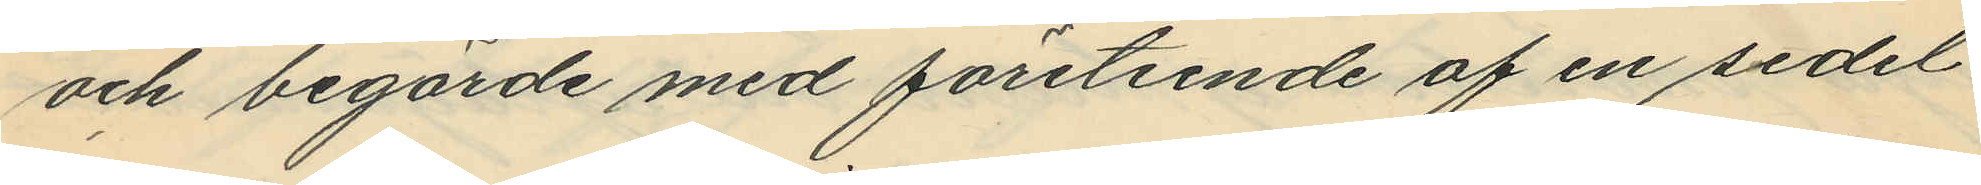och begärde med företeende af en sedel
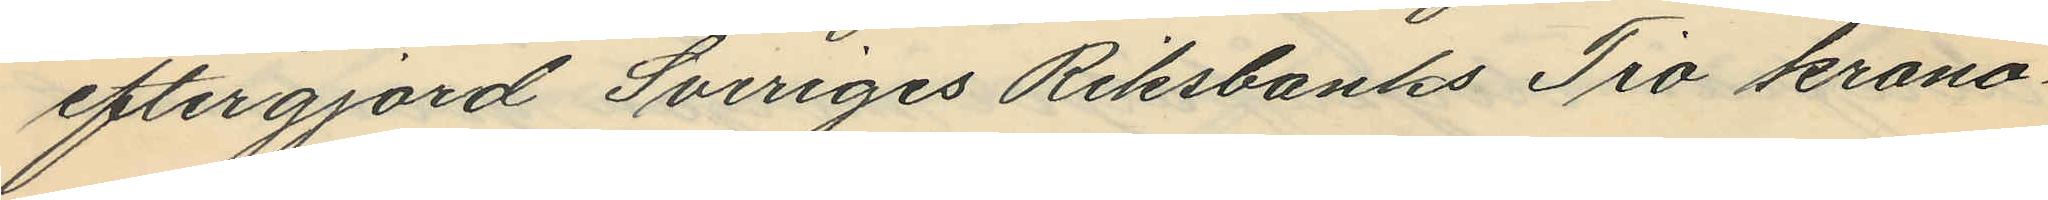eftergjord Sveriges Riksbanks Tio krono¬
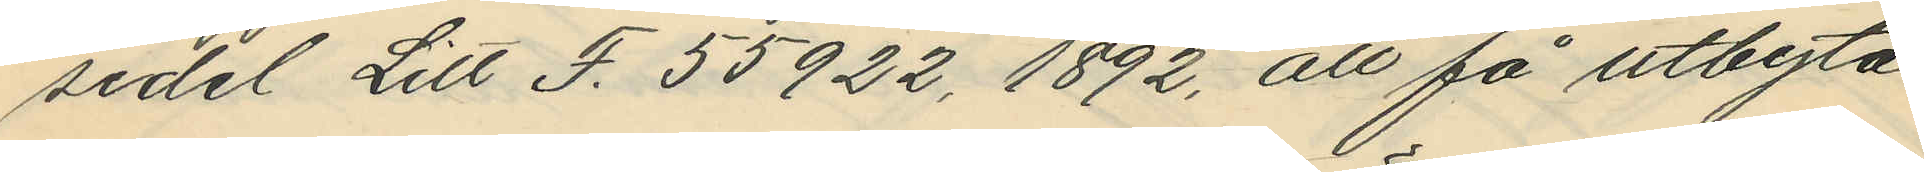sedel Litt S. 55922, 1892, att få utbyta
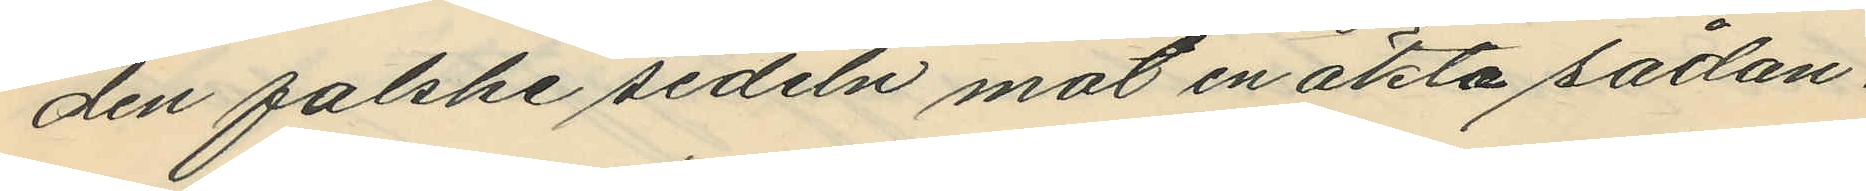den falske sedeln mot en äkta sådan.
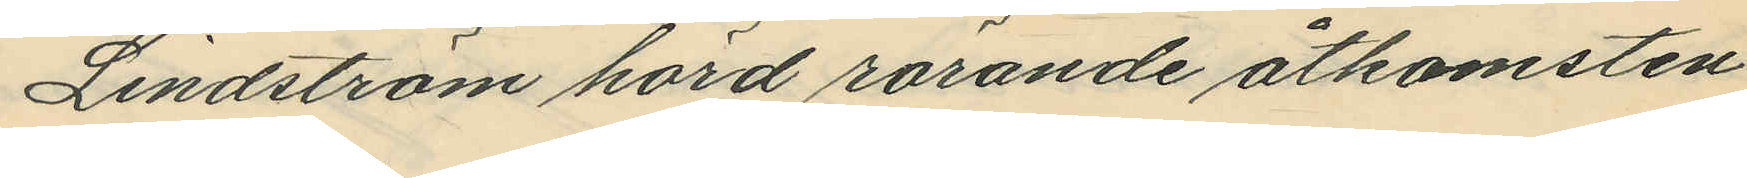Lindström hörd rörande åtkomsten
